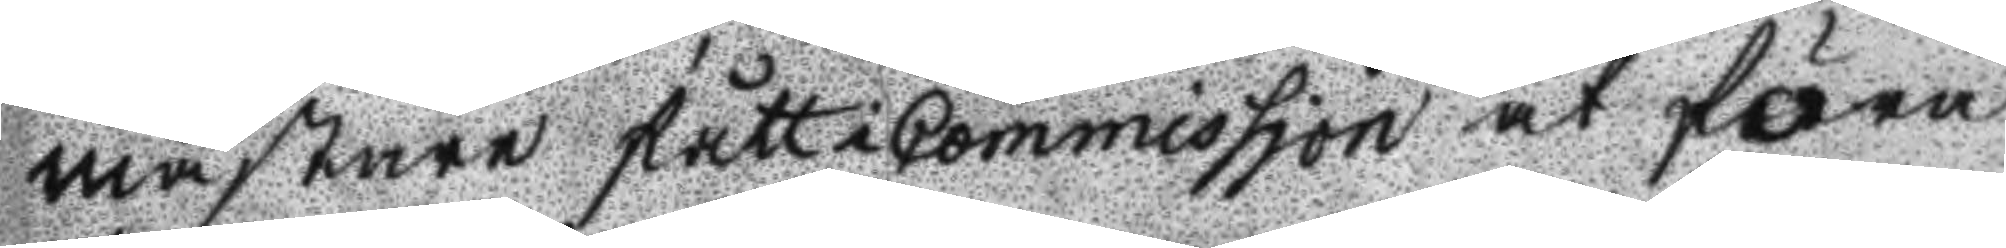mästare fått Commission at föra
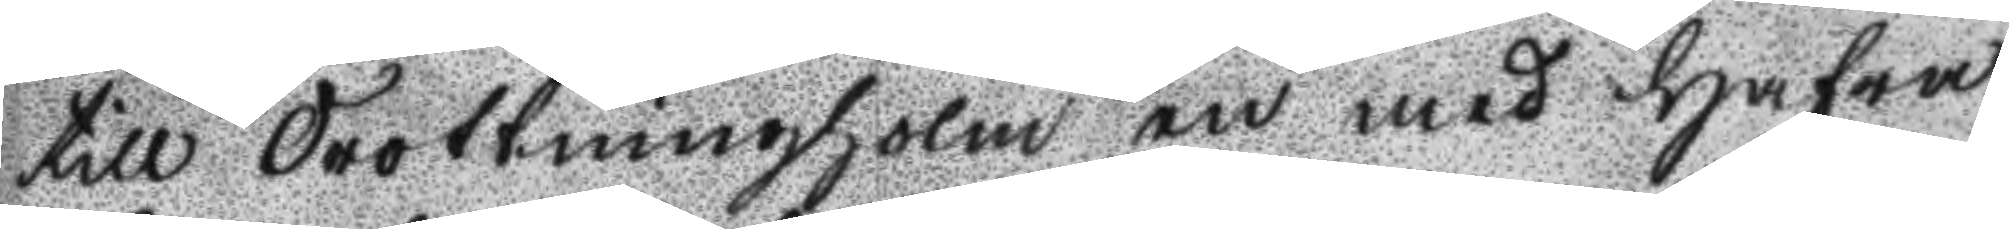till drottningholm en med hafra
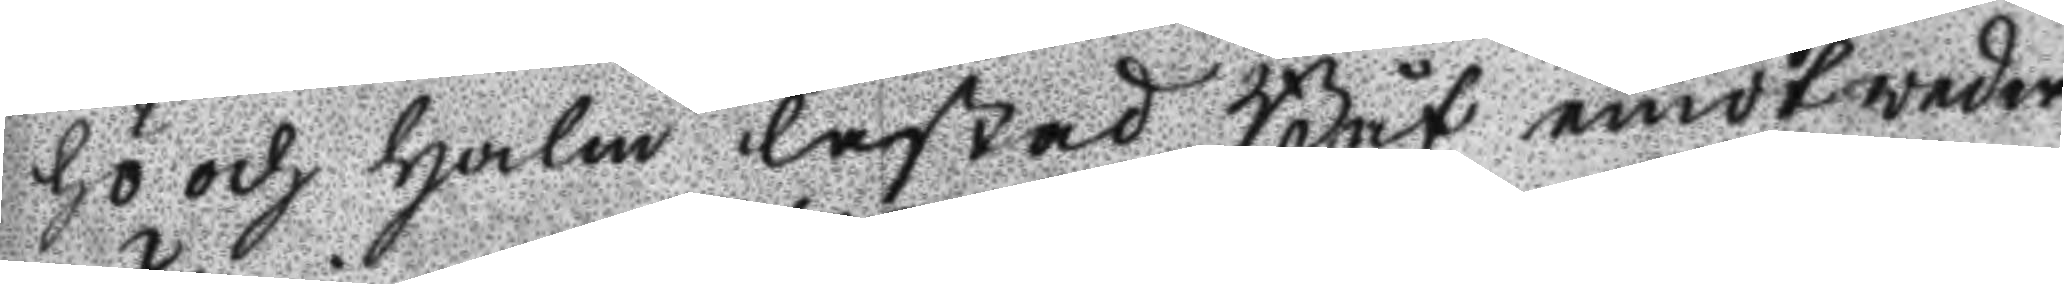hö och halm lastad Båt emot weder
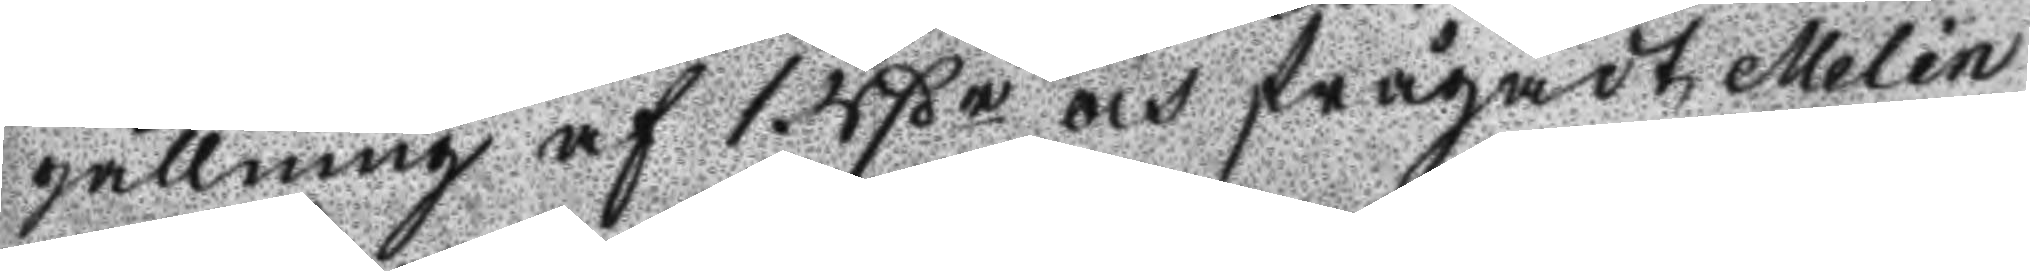gällning af 1. Rßr och frågadt Melin
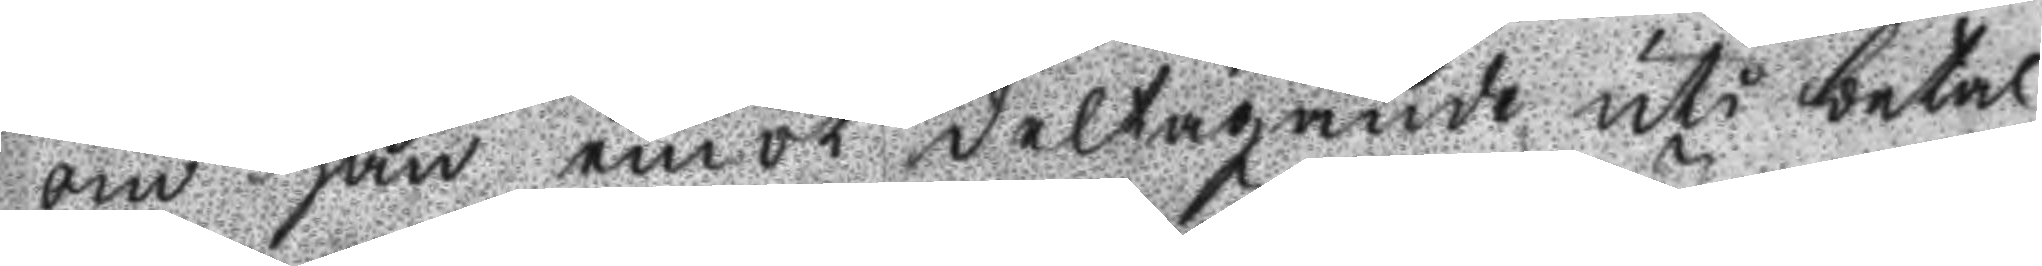om han emot deltagande uti betal
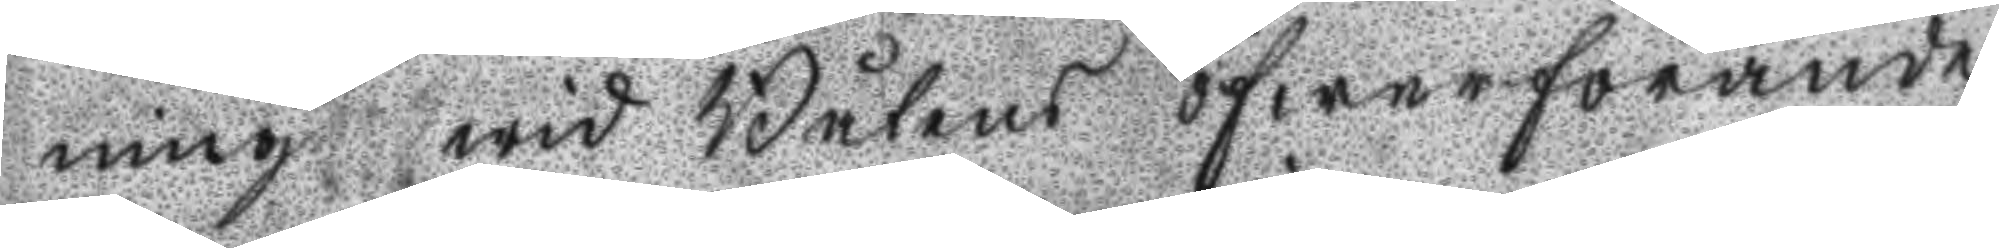ning wid Båtens öfwerförande
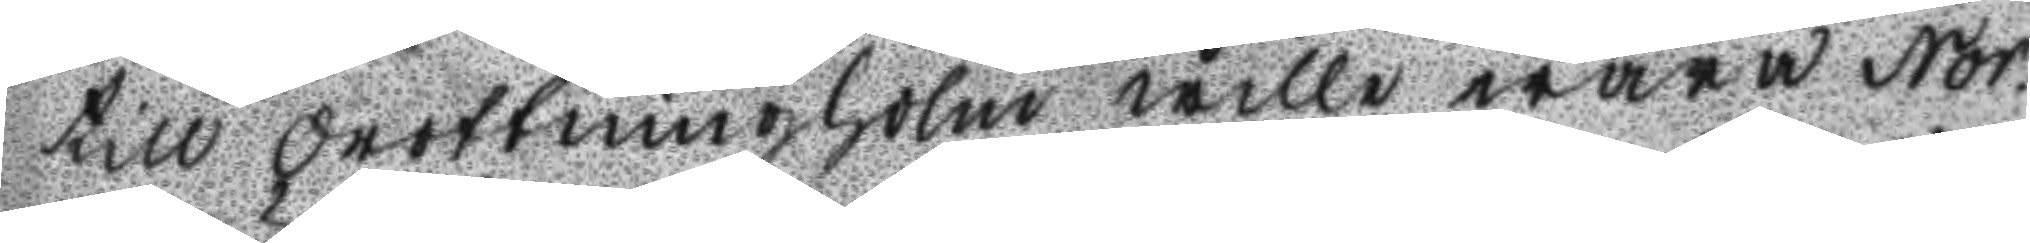till Drottningholm wille wara Nor¬
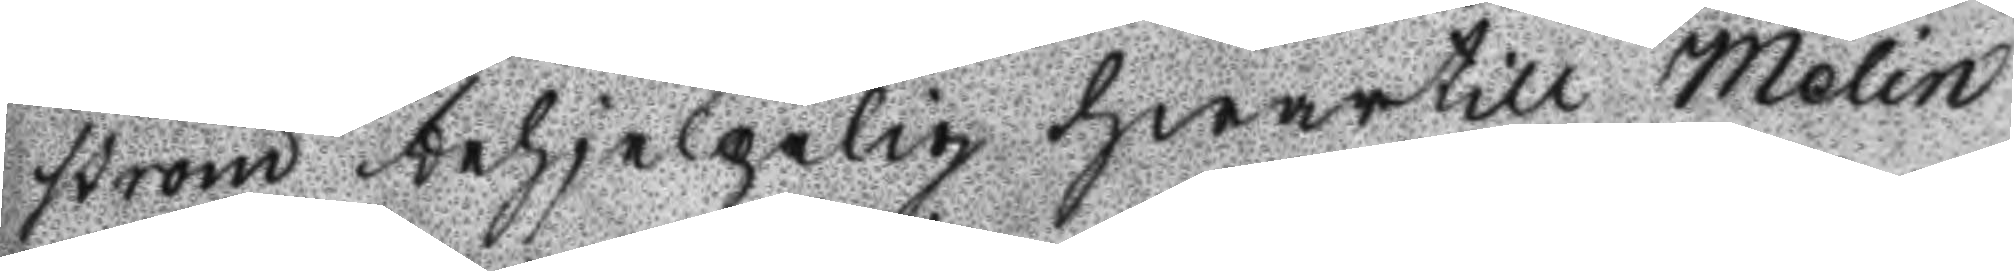ström nehjelpelig hwartill Melin
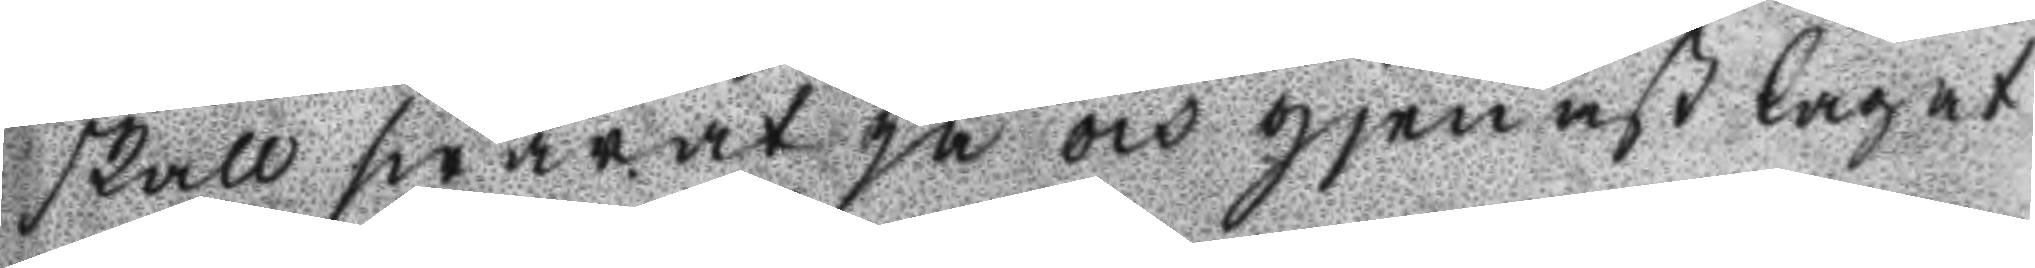skall swarat ja och gjenast lagat
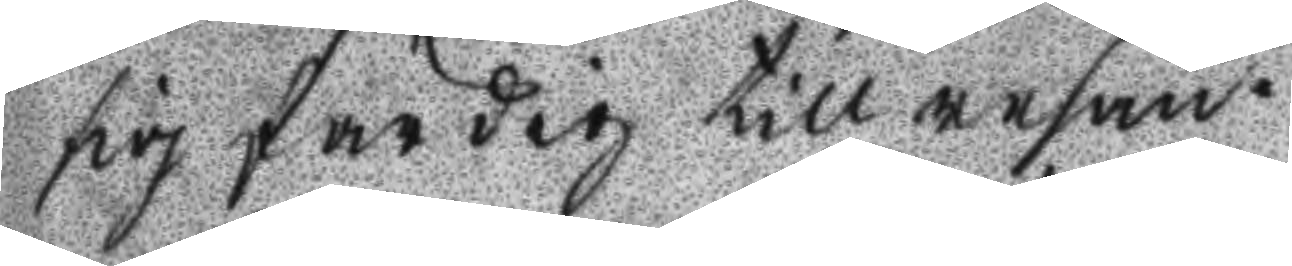sig färdig till resan.
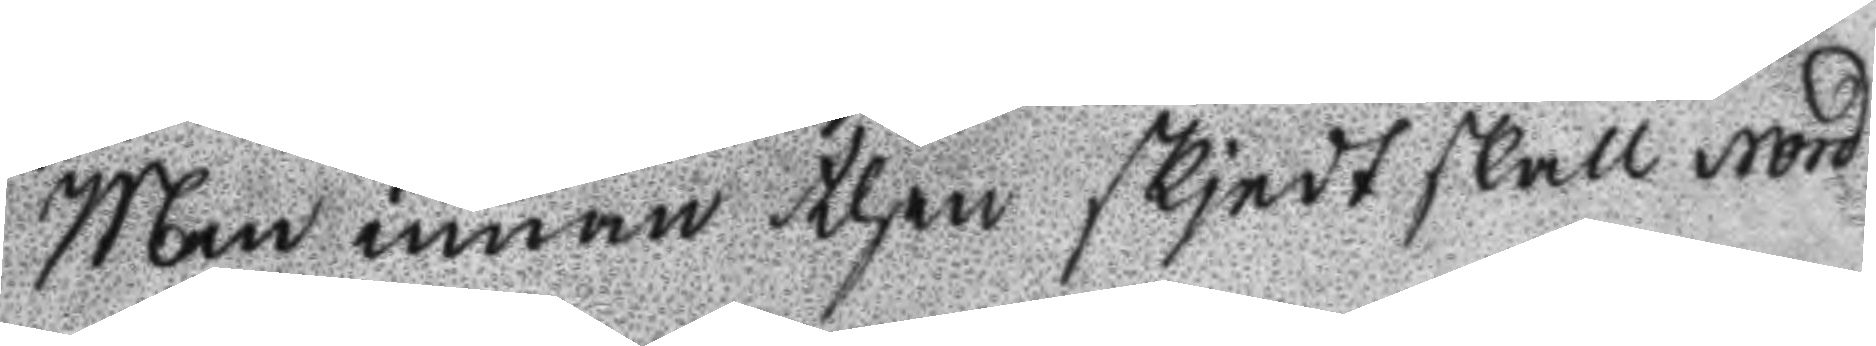Men innan then skjedt skall Nord
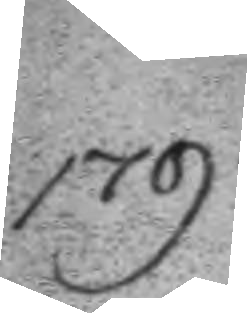179.
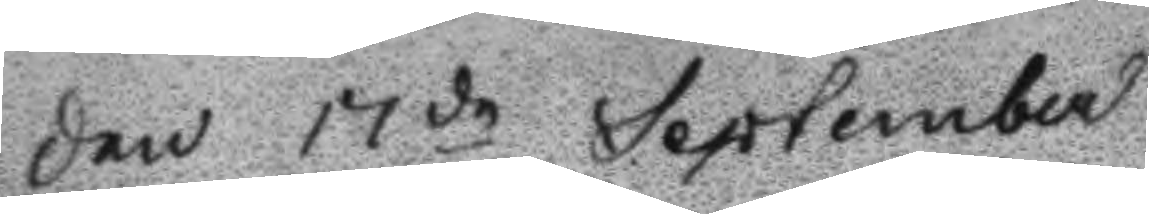Den 17de September
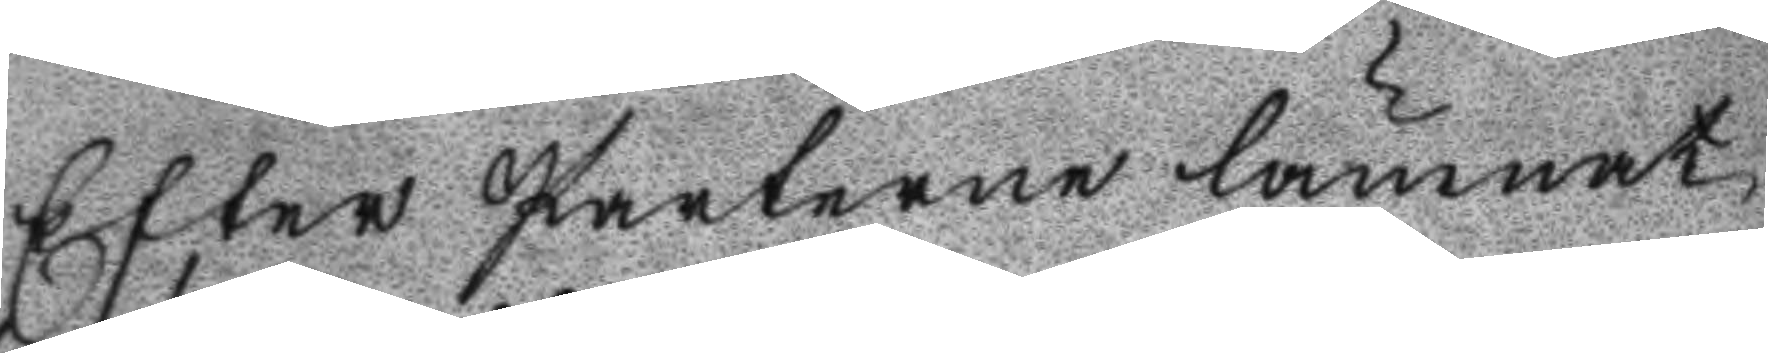Efter Parterne lämnat
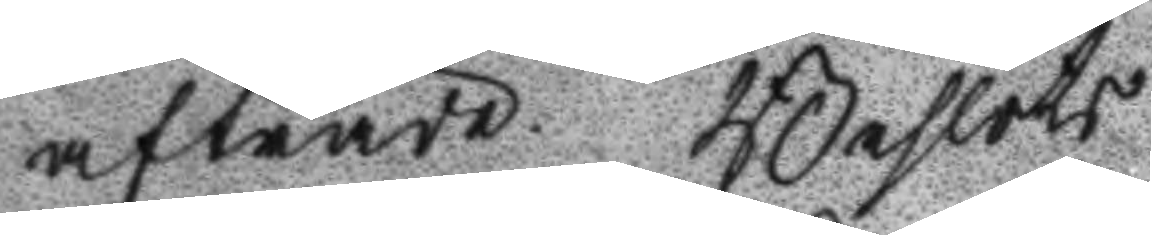afträde. Beslöts
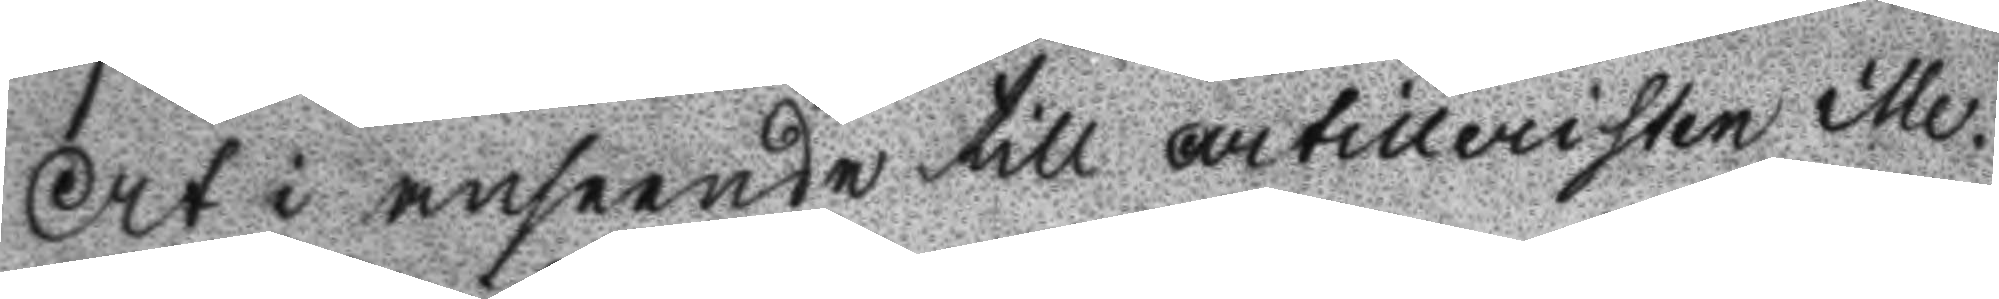At i anseende till artilleristen Me¬
